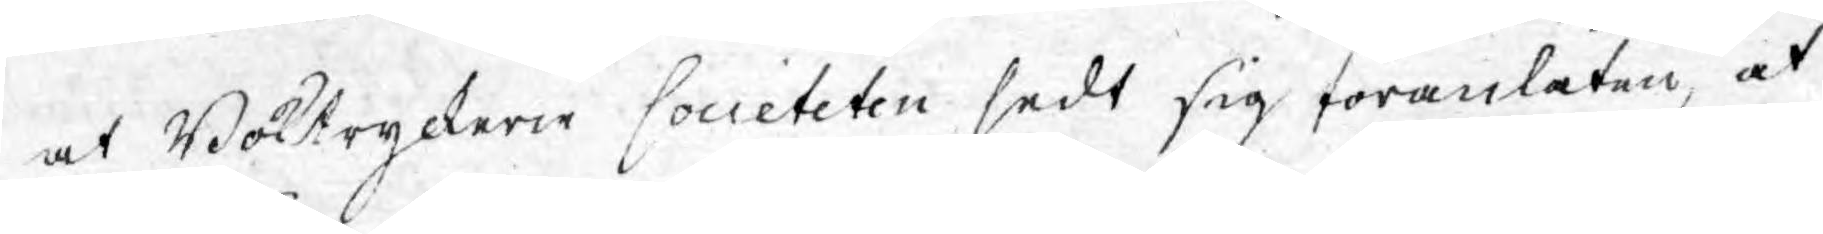at Boktryckerie societeten sedt sig föranlåten, at
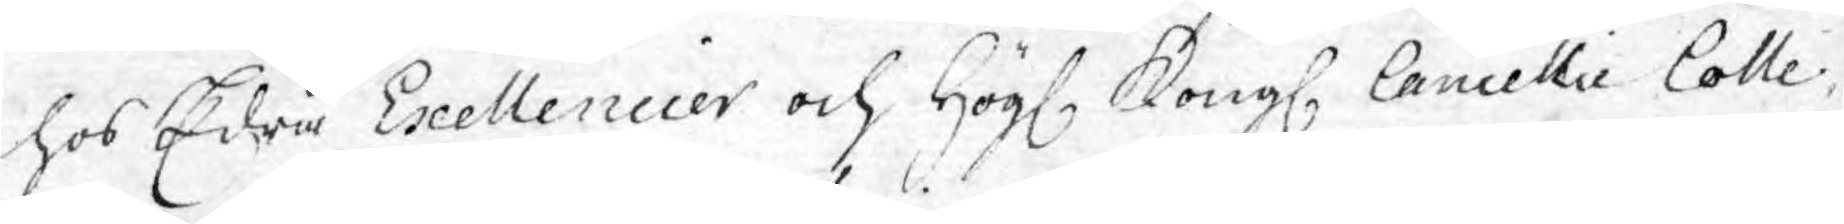hos Edra Exellencier och Högl. Kongl. Cancellie Colle¬
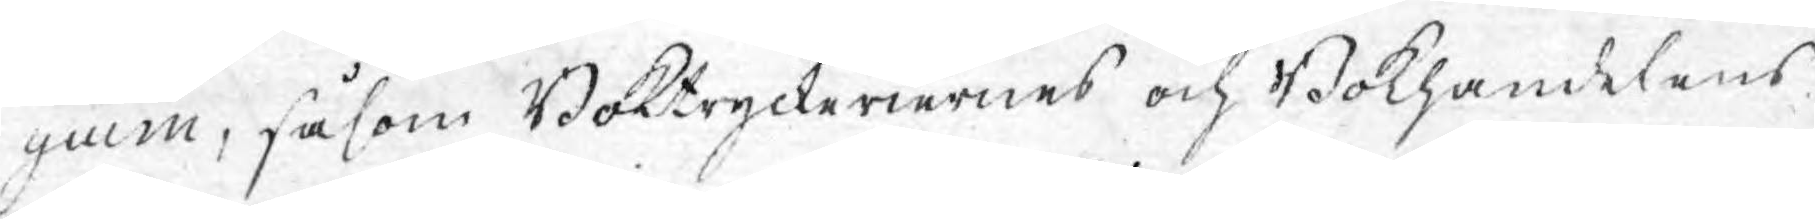gium, såsom Boktryckeriernes och Bokhandelens
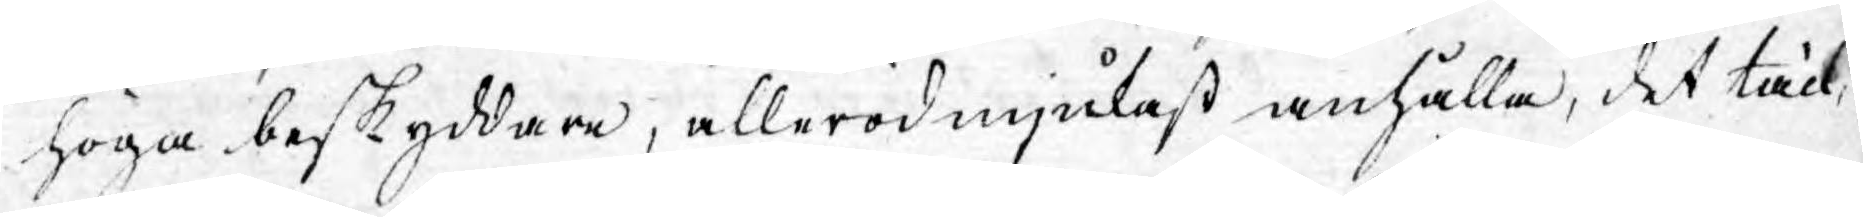höga beskyddare, allerödmjukast anhålla, det täck¬
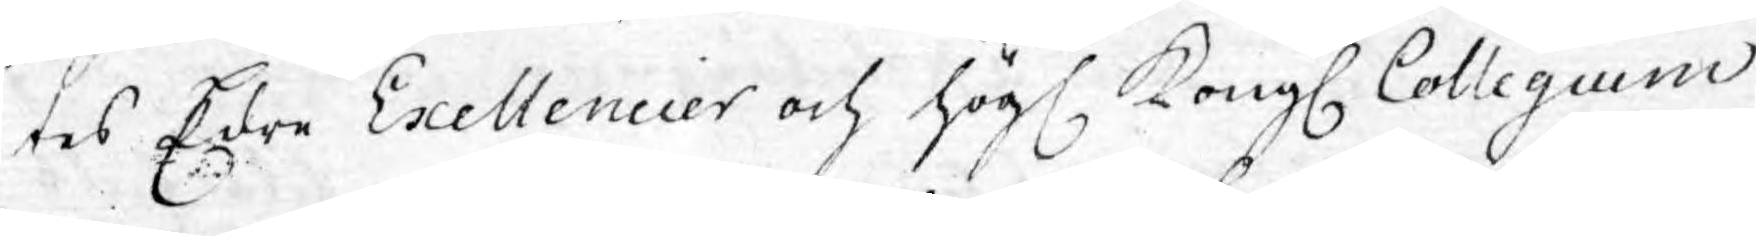tes Edre Exellencier och Högl. Kongl. Collegium,
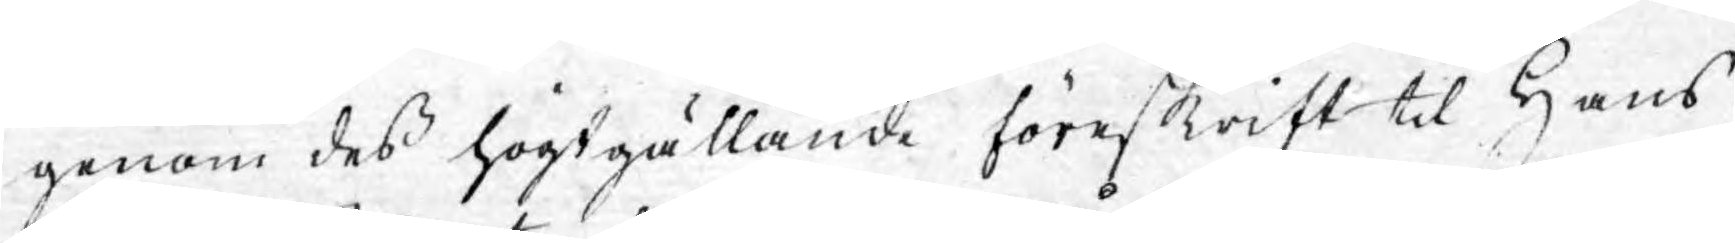genom dess högtgällande föreskrift til Hans
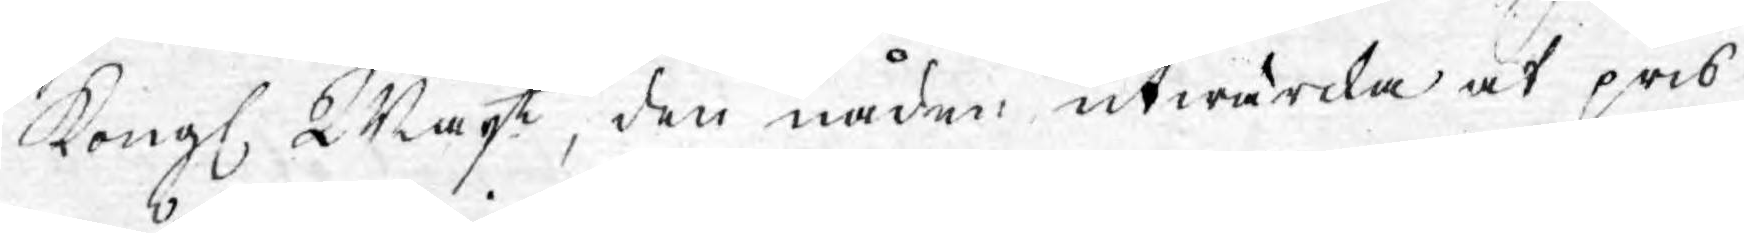Kongl. Majt, den nåden utwärcka at pris
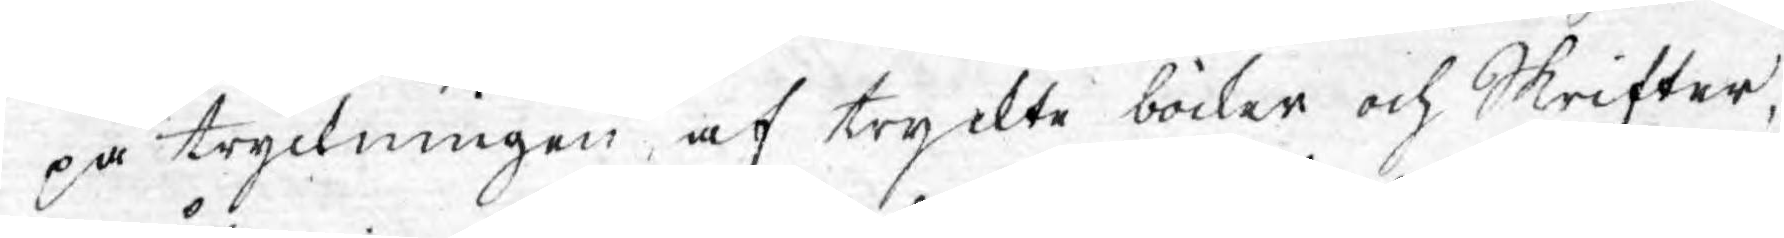på tryckningen af tryckte böcker och skrifter,
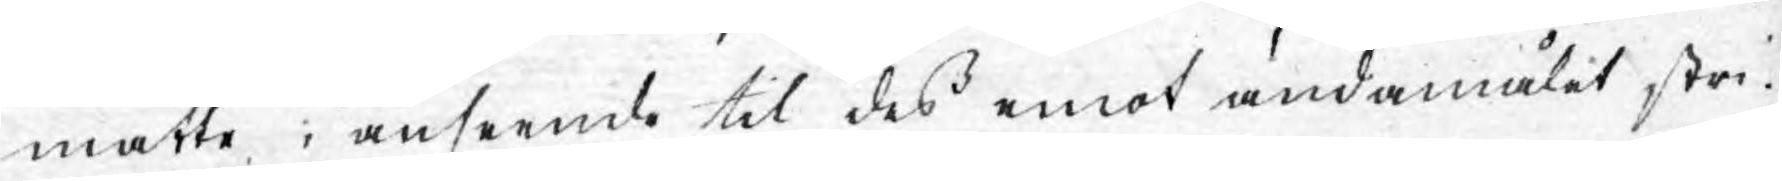måtte i anseende til dess emot ändamålet stri¬
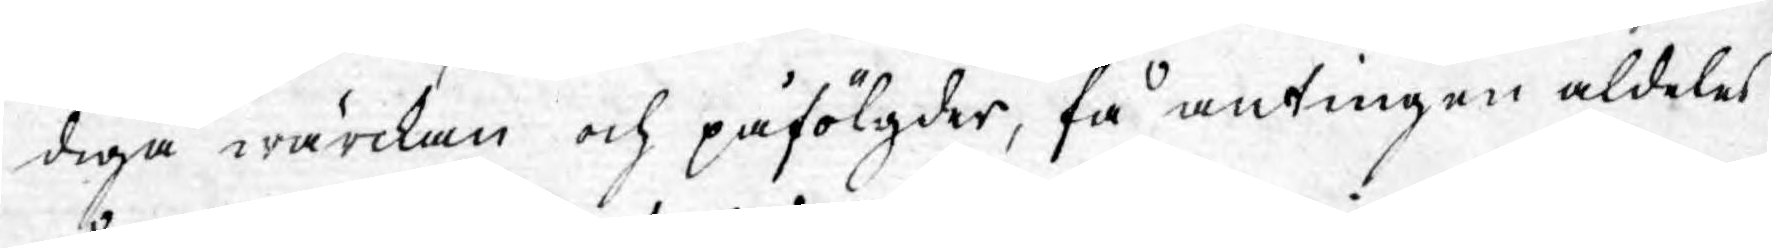diga wärckan och påfölgder, få antingen aldeles
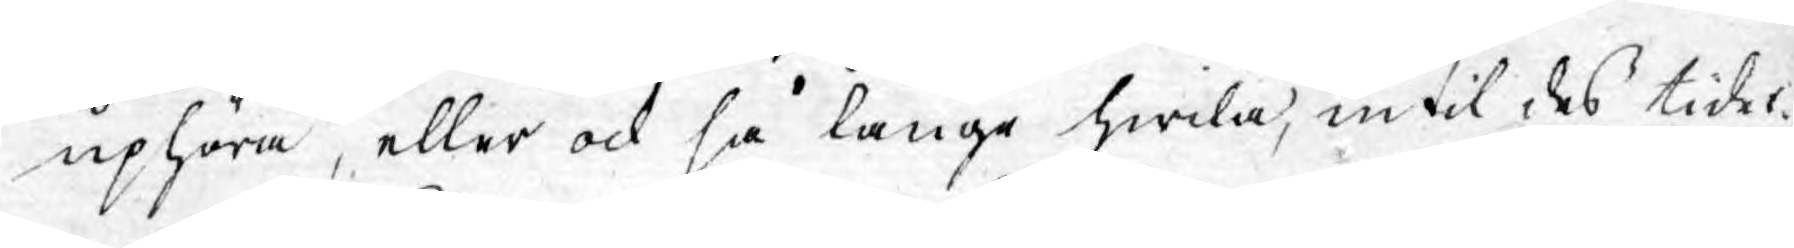uphöra, eller ock så länge hwila, intil dess tider¬
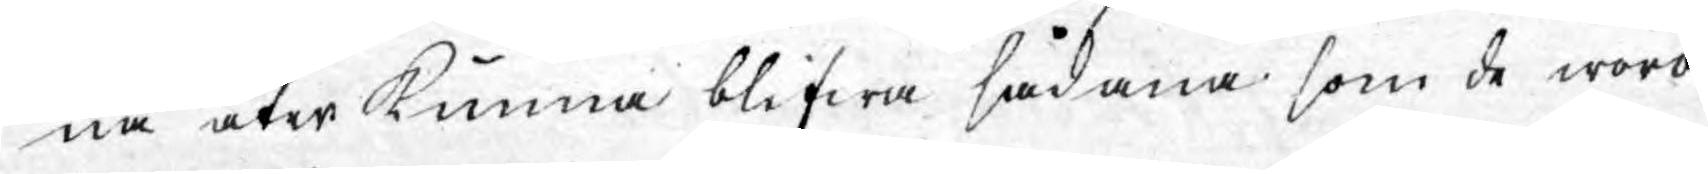na åter kunna blifwa sådana som de woro
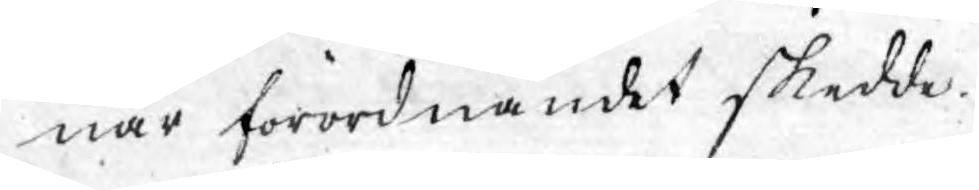när förordnandet skedde.
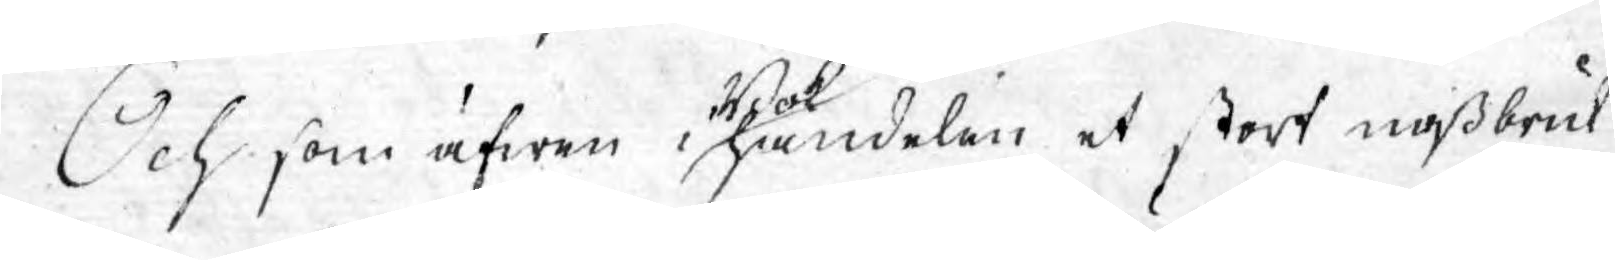Och som äfwen i Bokhandelen et stort missbruk
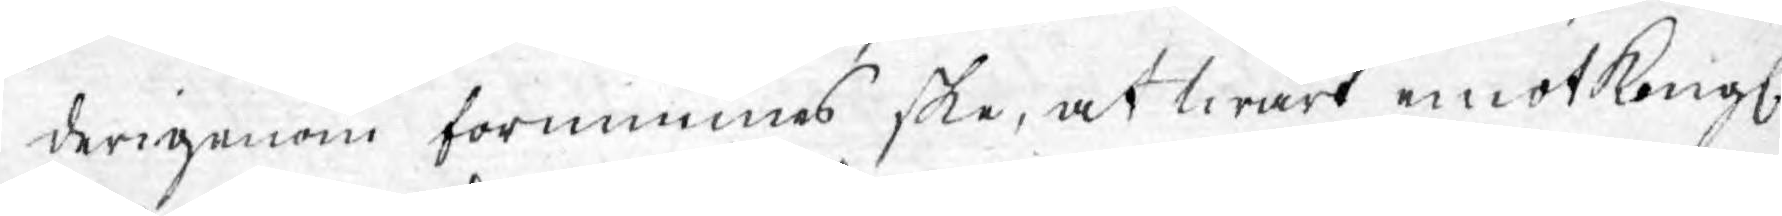derigenom förnimmes ske, at twärt emot Kongl.
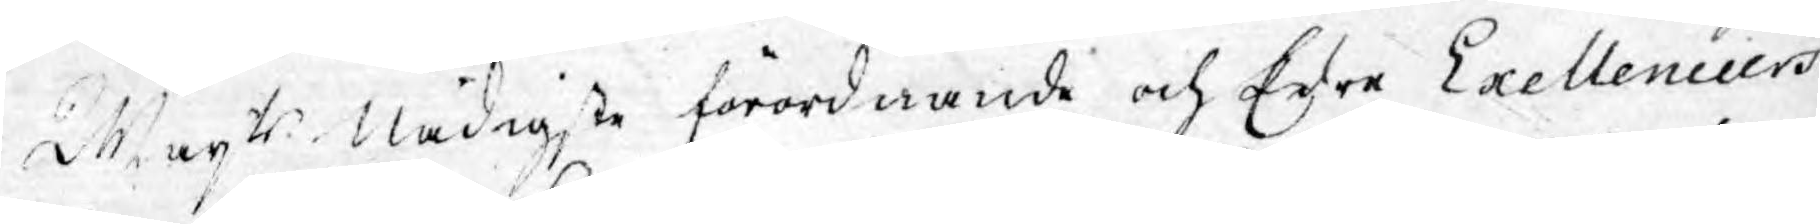Majts  Nådigste förordnande och Edre Exellenciers
